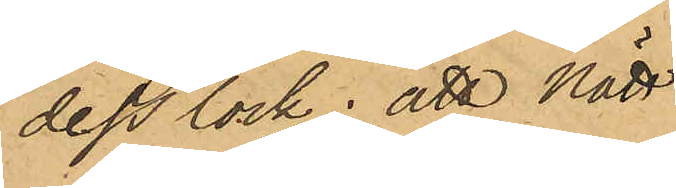dess lock; att Nätt
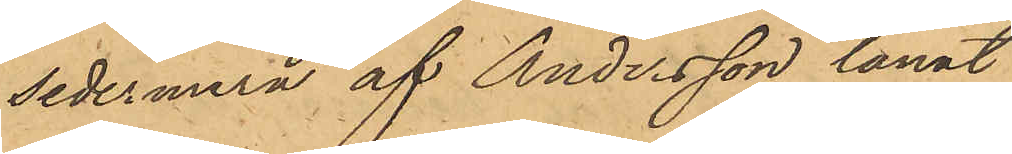sedermera af Andersson lånat
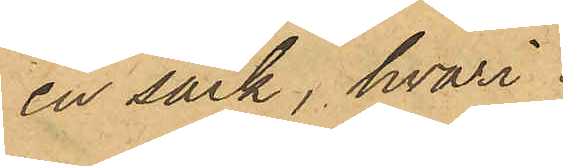en säck, hvari
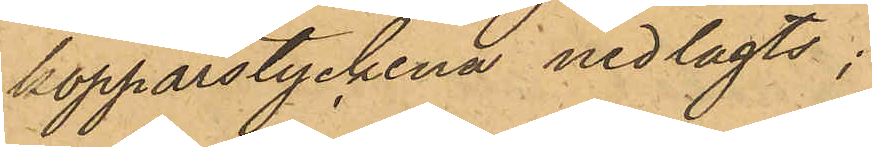kopparstyckena nedlagts;
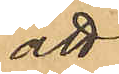att
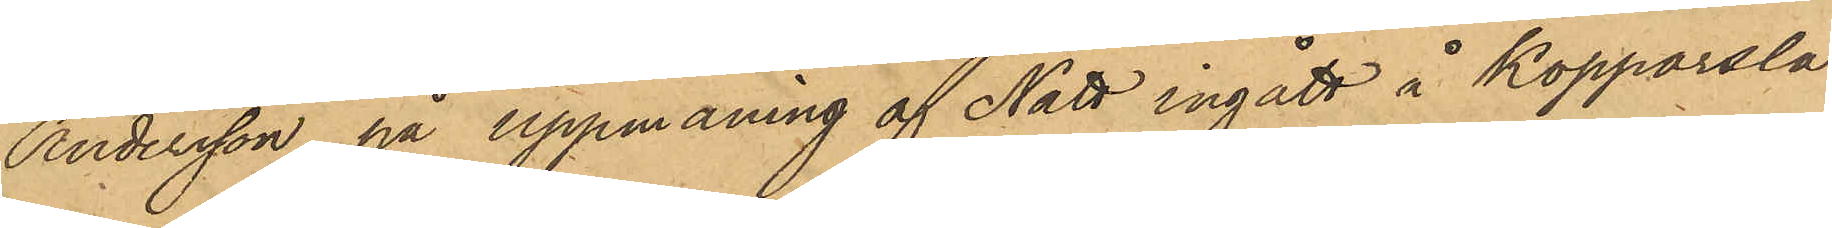Andersson på uppmaning af Nätt ingått å Kopparsla¬
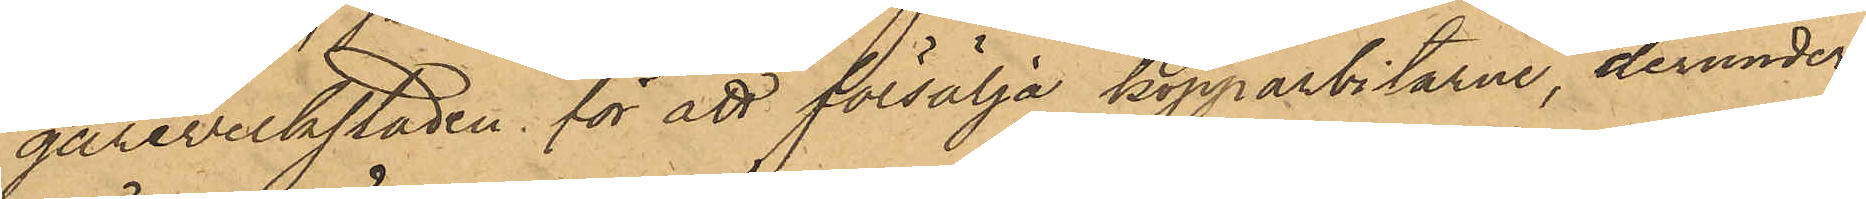gareverkstaden för att försälja kopparbitarne, derunder
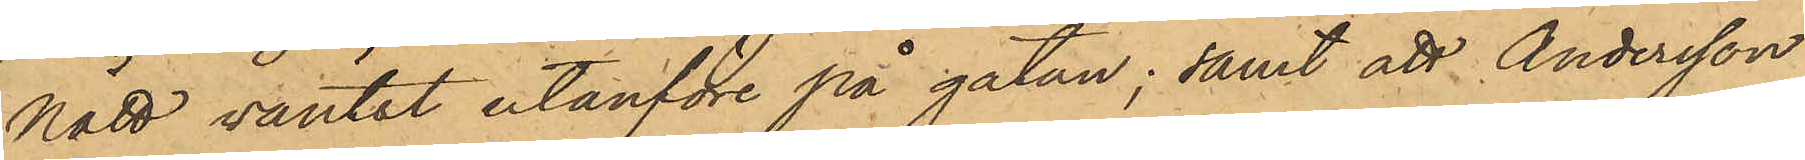Nätt väntat utanföre på gatan; samt att Andersson
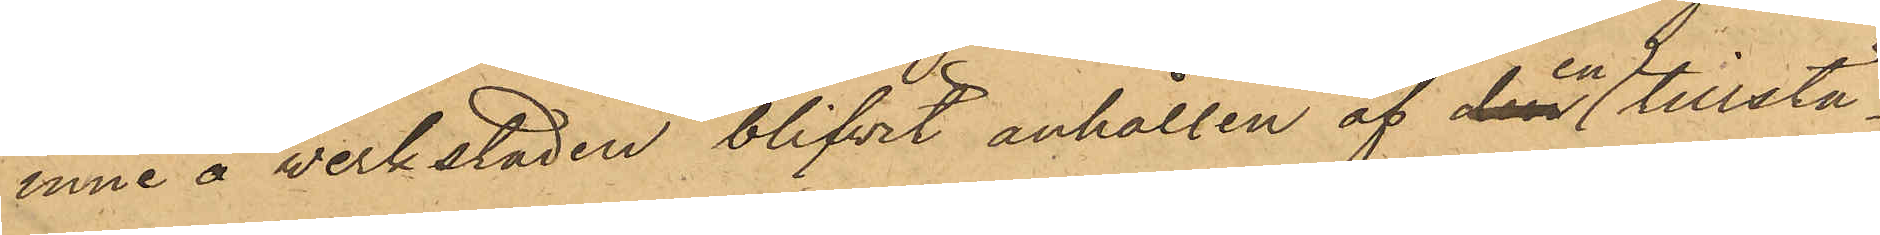inne å verkstaden blifvit anhållen af en tillstä¬
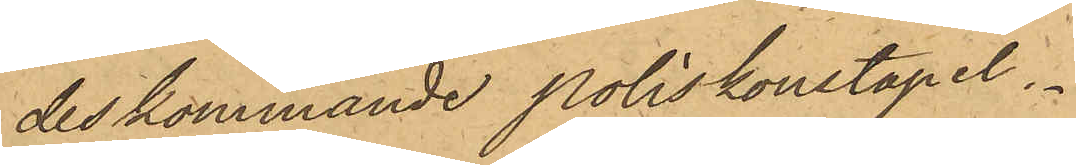deskommande poliskonstapel.
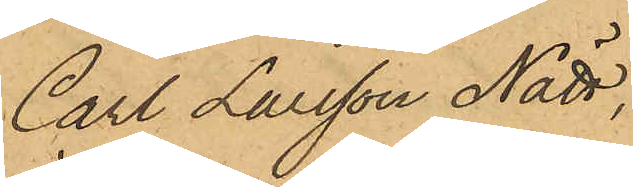Carl Larsson Nätt,
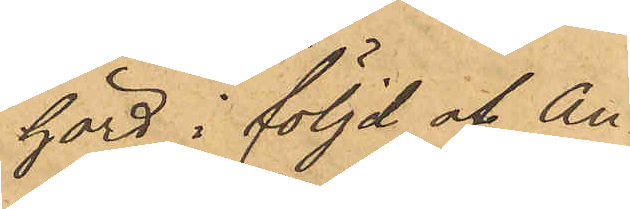hörd i följd af An¬
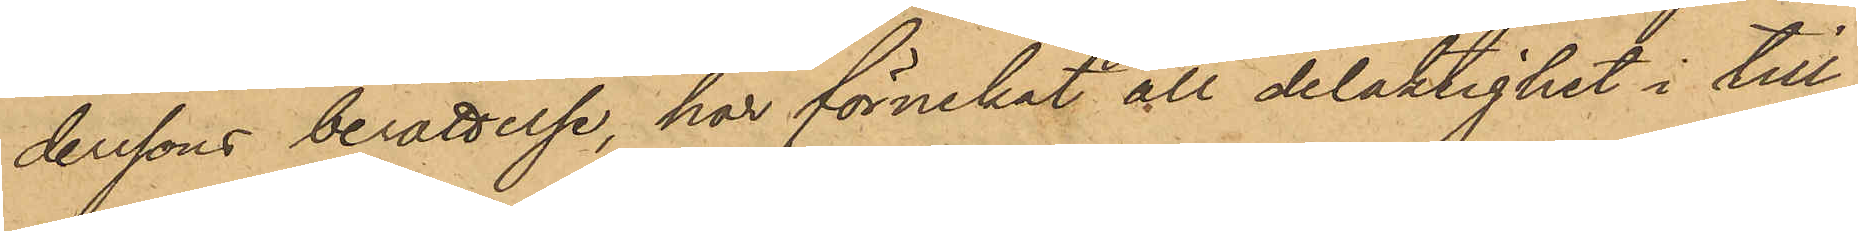derssons berättelse, har förnekat all delaktighet i till¬
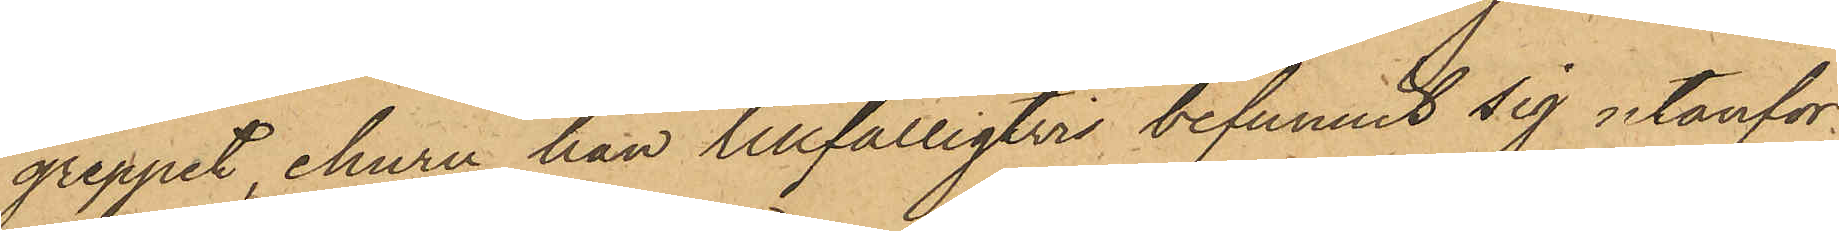greppet, ehuru han tillfälligtvis befunnit sig utanför
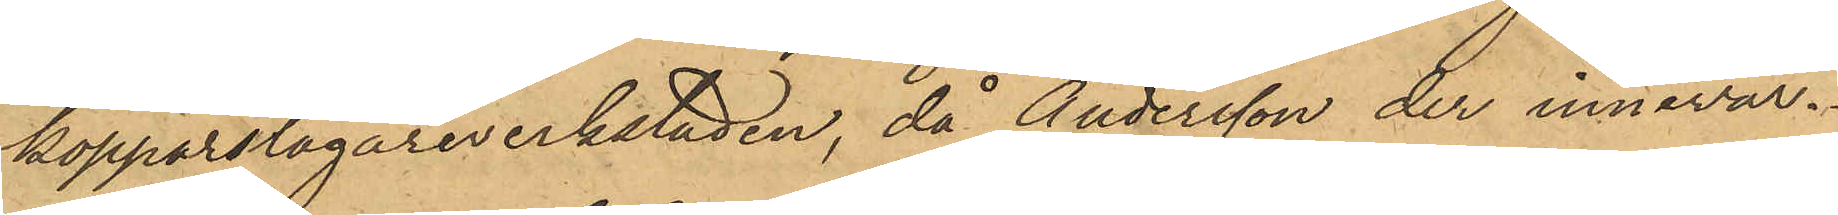kopparslagareverkstaden, då Andersson der innevar.
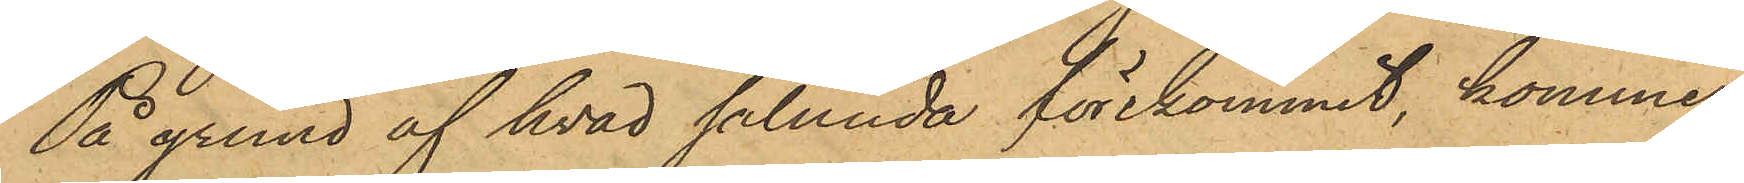På grund af hvad sålunda förekommit, kommer
